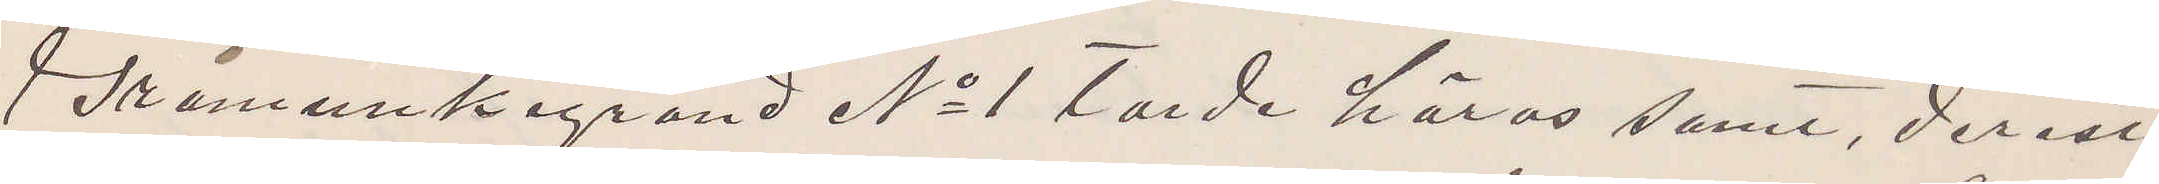Gråmunkegränd No 1 torde höras samt, derest
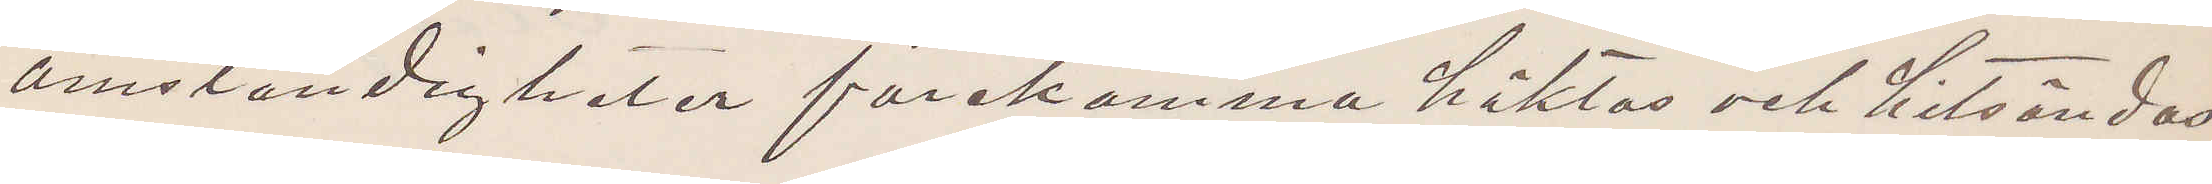omständigheter förekomma häktas och hitsändas
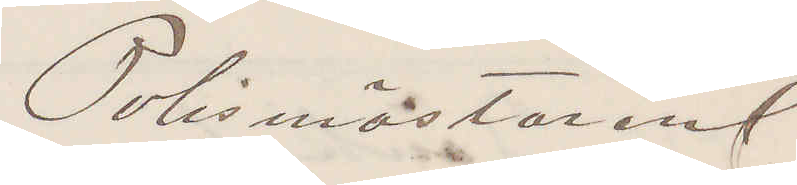Polismästaren
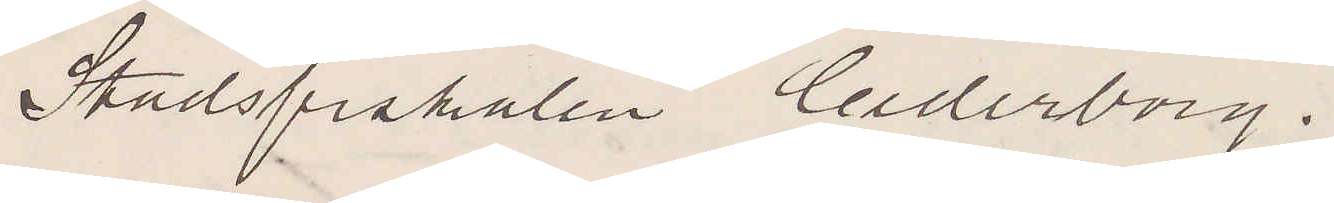Stadsfiskalen Cederborg.
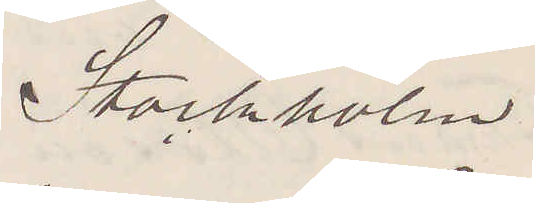Stockholm
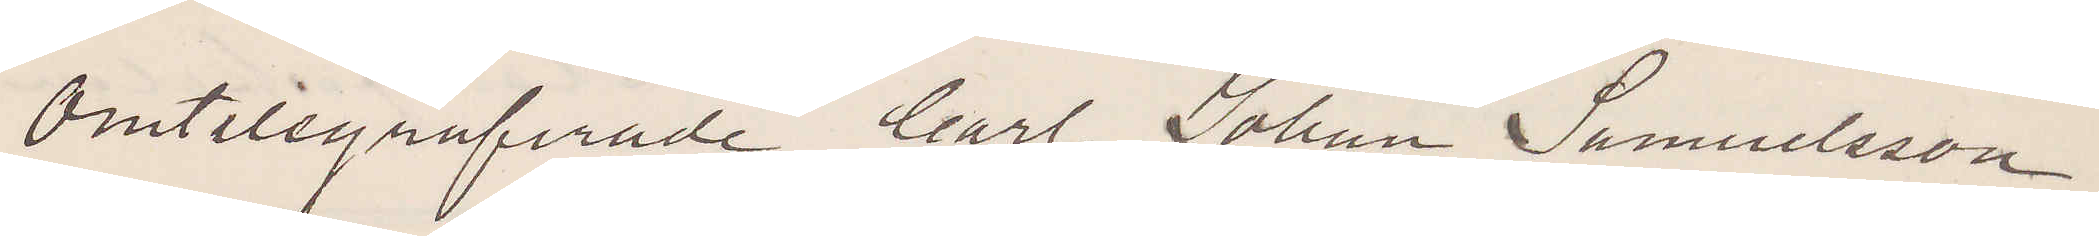Omtelegrafeade Carl Johan Samuelsson
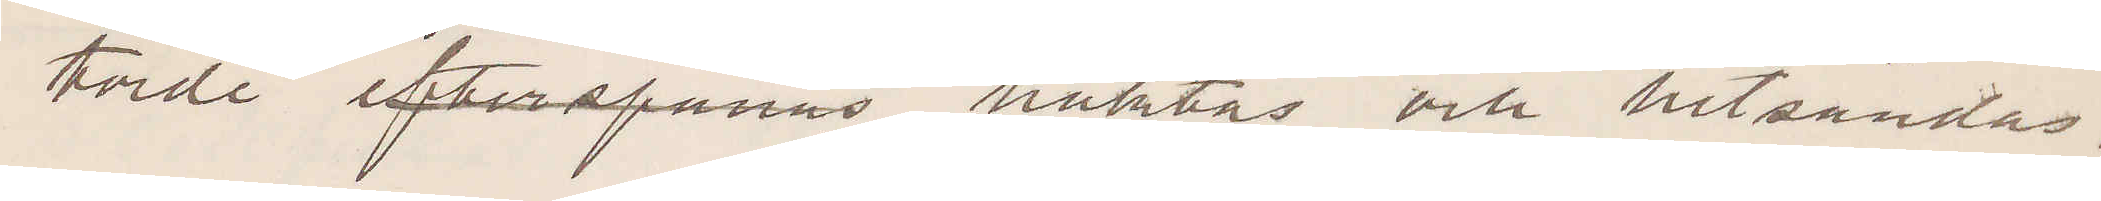torde efterspanas, häktas och hitsändas.
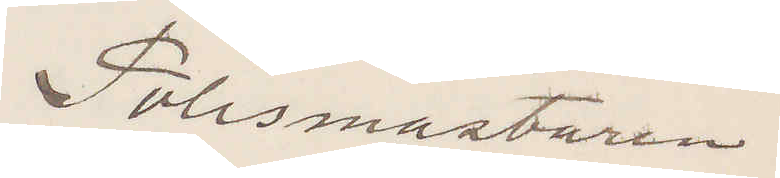Polismästaren
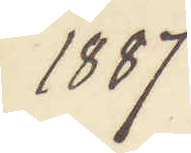1887
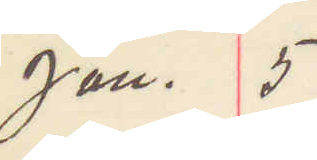jan. 5
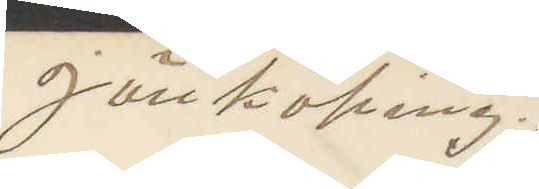Jönköping
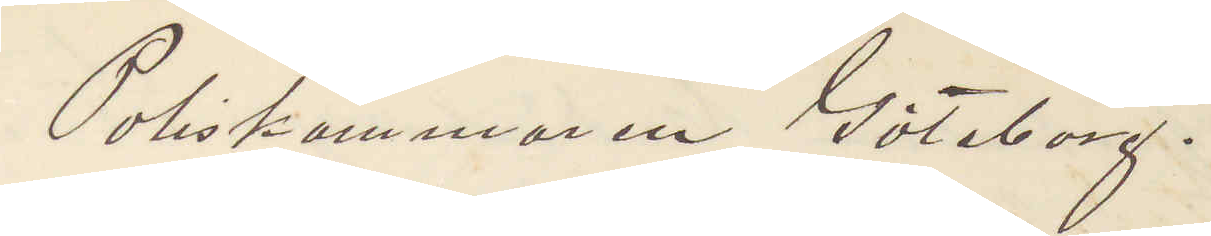Poliskammaren Göteborg.
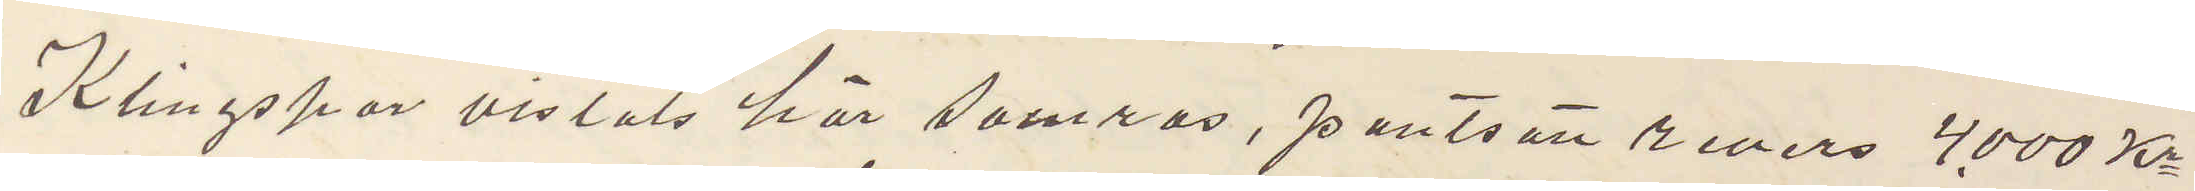Klingspor vistats här somras, pantsatt revers 4000 Kr
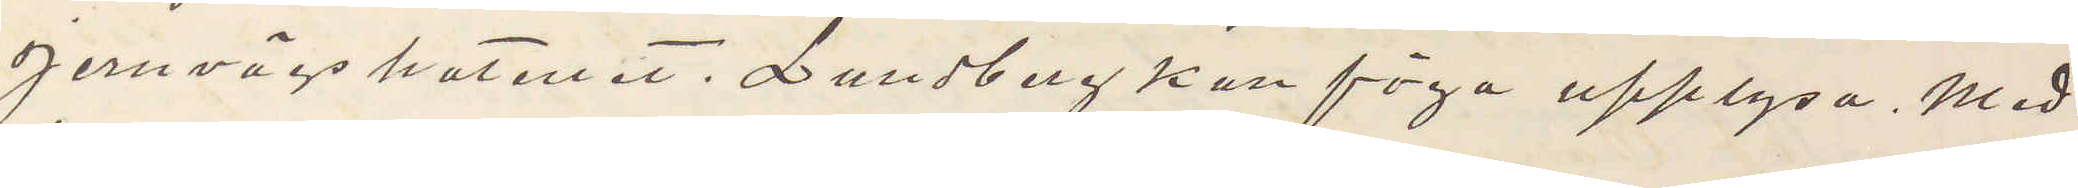Jernvägshotellet. Lundberg kan föga upplysa. Med
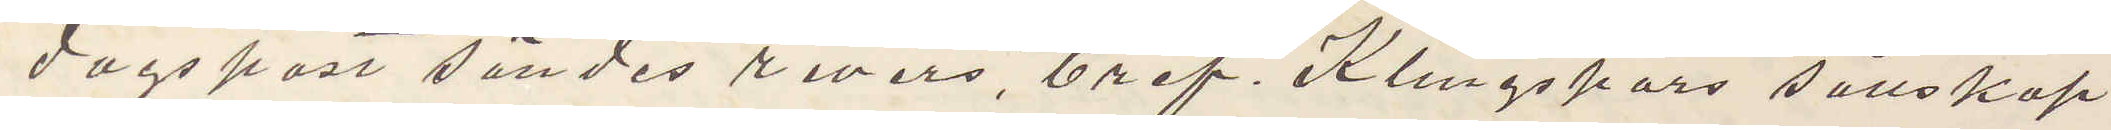dagspost sändes revers, bref. Klingspors sällskap
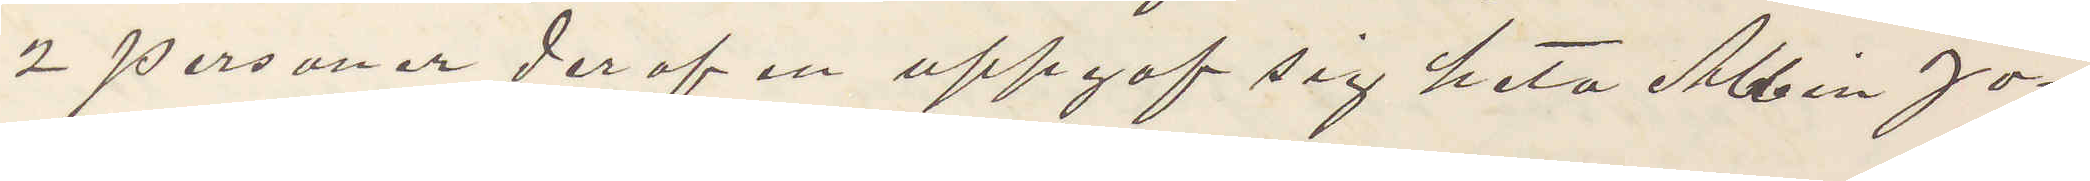2 personer der af en uppgaf sig heta Albin Jo¬
